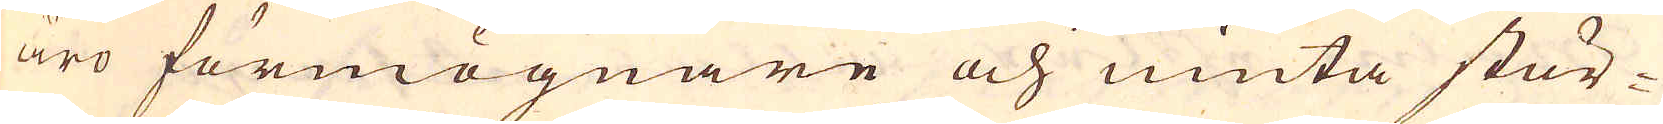äro förmögnare och niuta stör-
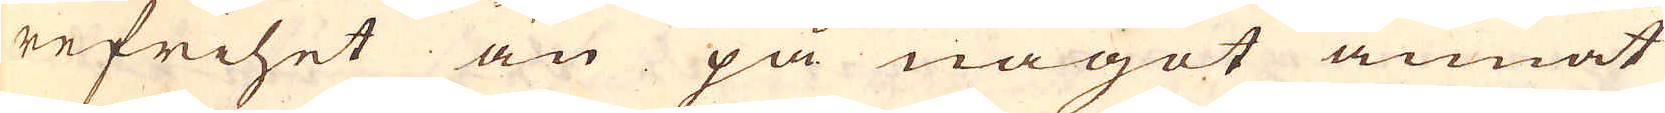re frihet än på något annat
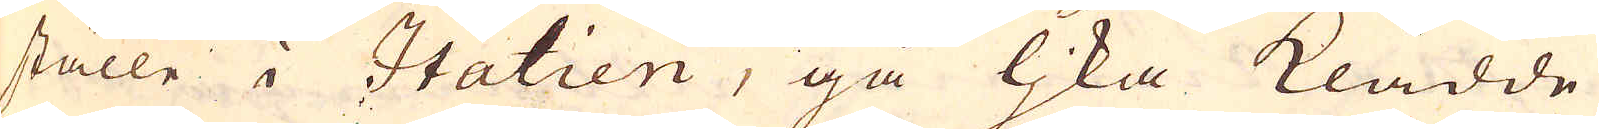ställe i Italien, gå ljka klädde
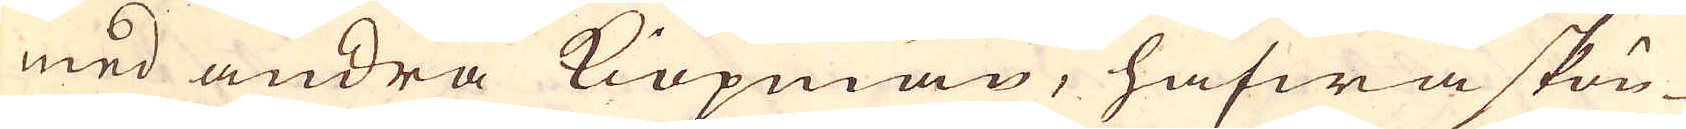med andra Kiöpmän, hafwa skön-
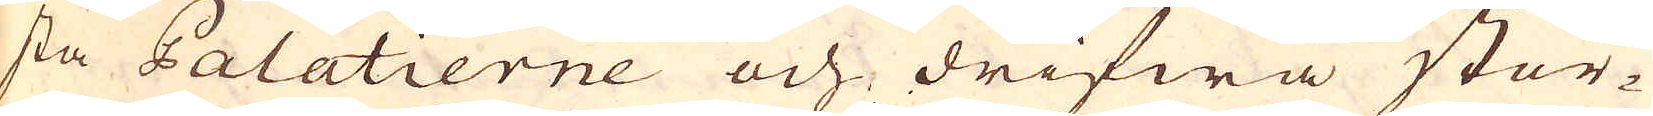sta Palatierne och drifwa stör-
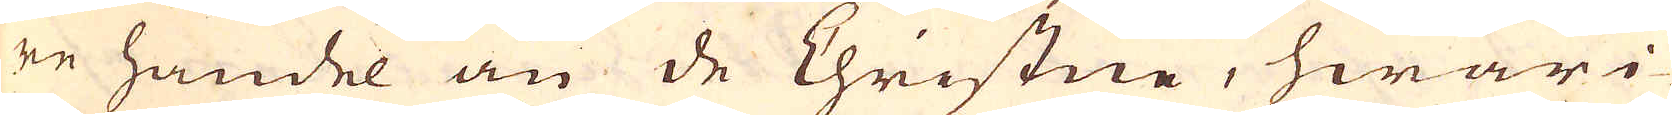re handel än de Christne, hwari-
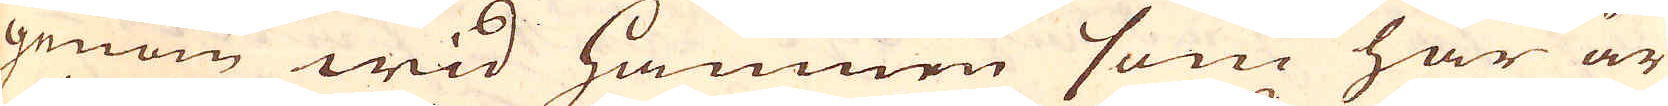genom wid hamnen som här är
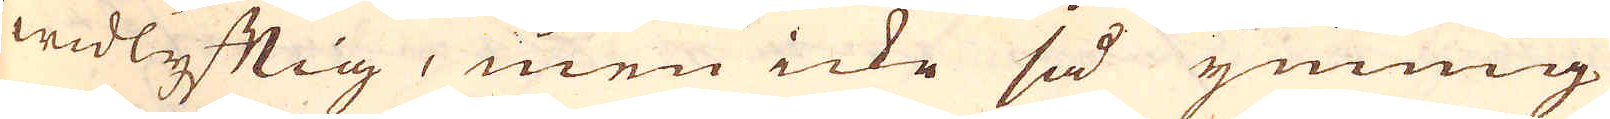widlyftig, men icke så ymnig
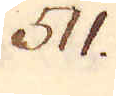511.
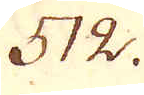512.
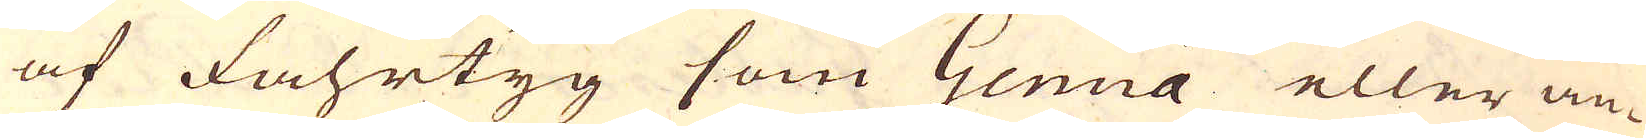af Fahrtyg som Genua eller an-
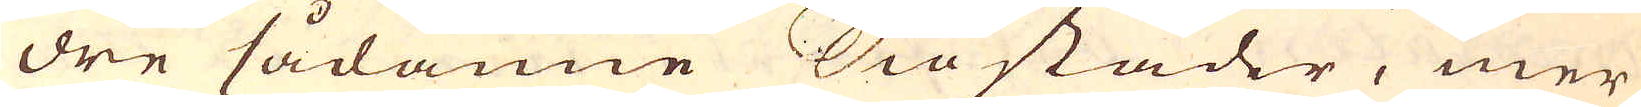dre sådanne Siostäder, mer
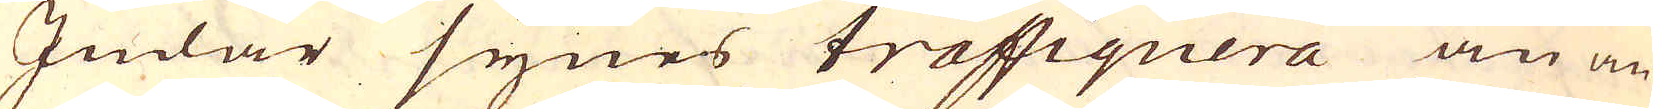Judar synes traffiquera än an-
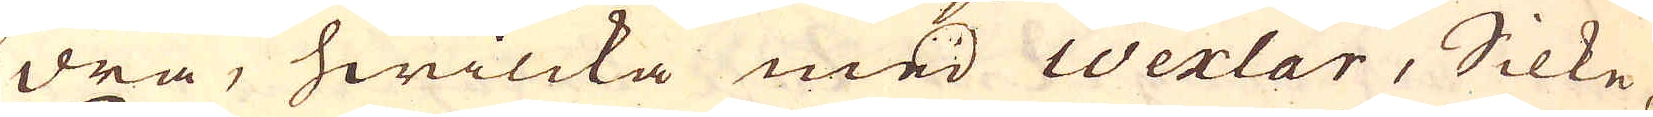dra, hwilcka med Wexlar, Silke,
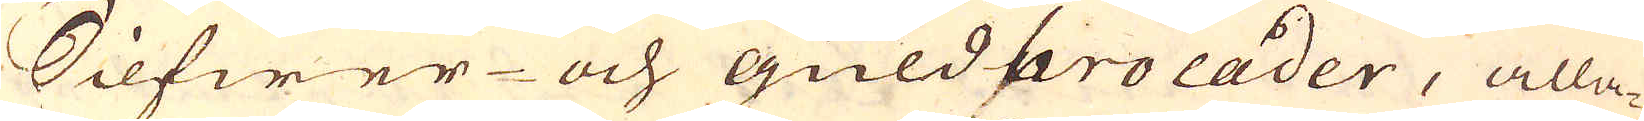Silfwer- och guldbrocader, alla-
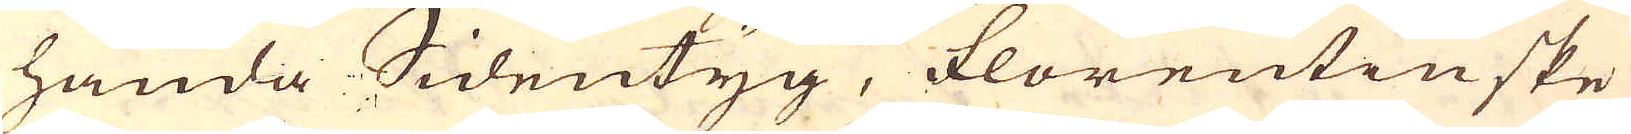handa Sidentyg, florentinske
